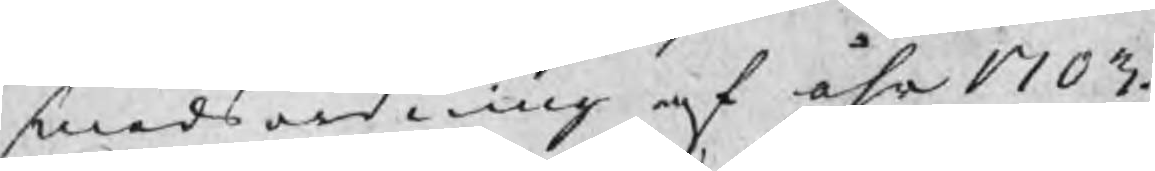smedsordning af åhr 1703.
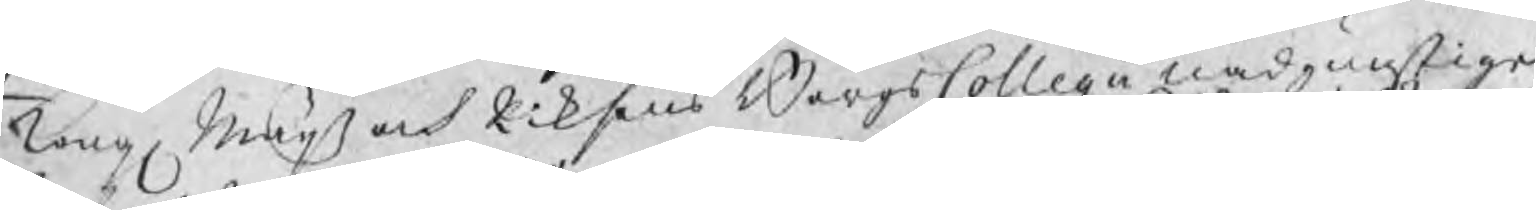Kong Maijs och Riksens BergsCollegii nådgunstige
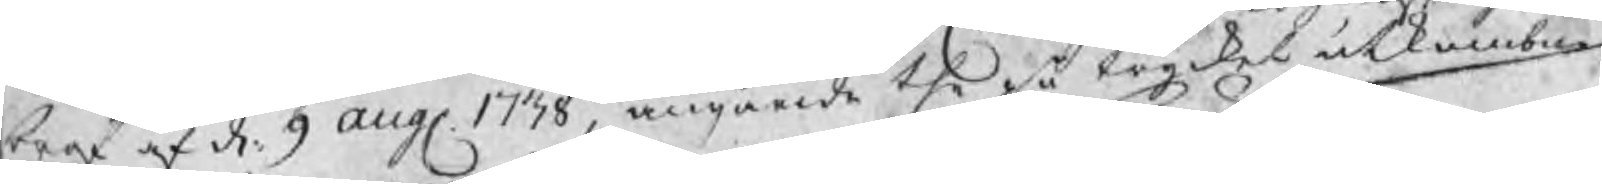bref af d. 9 aug 1738, angående the på trycket utkombne
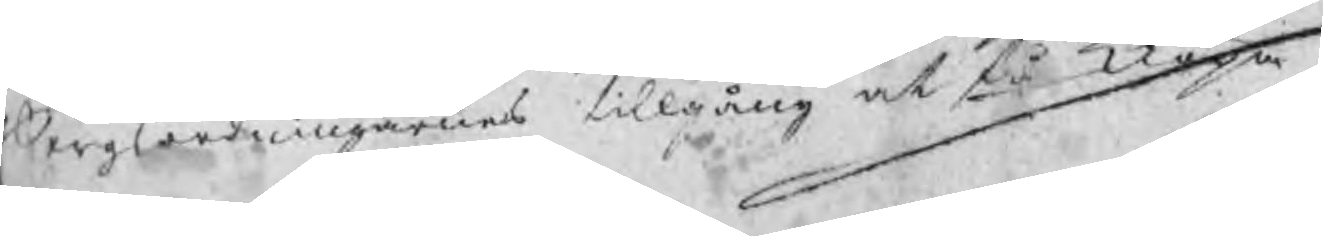Bergsordningarnes tillgång at få kiöpa.
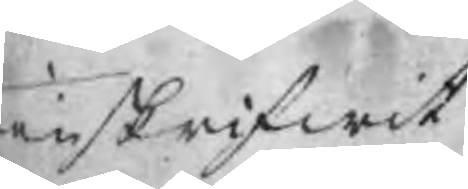enskrifwit
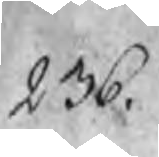236.
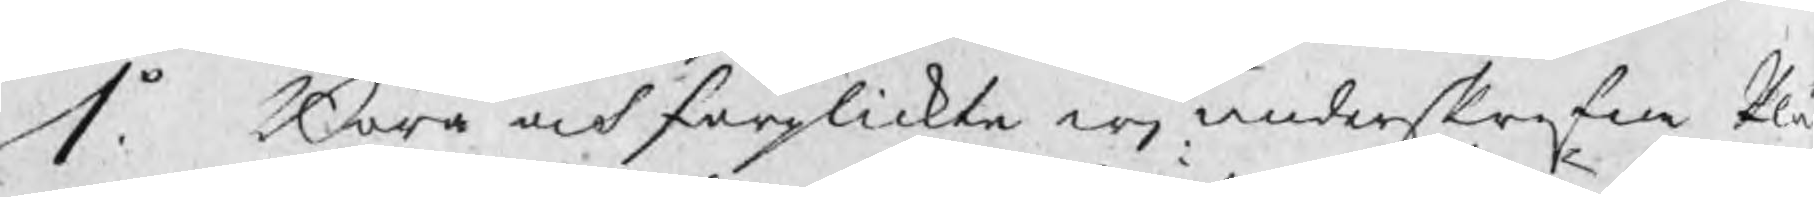1o. Böra och förplickta wj underskrefne Plå
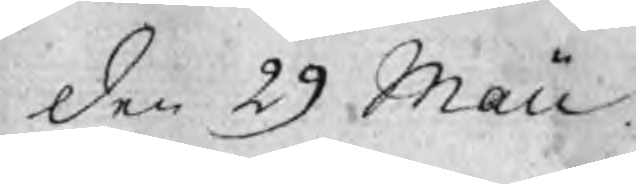den 29 Maii
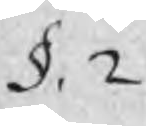§. 2.
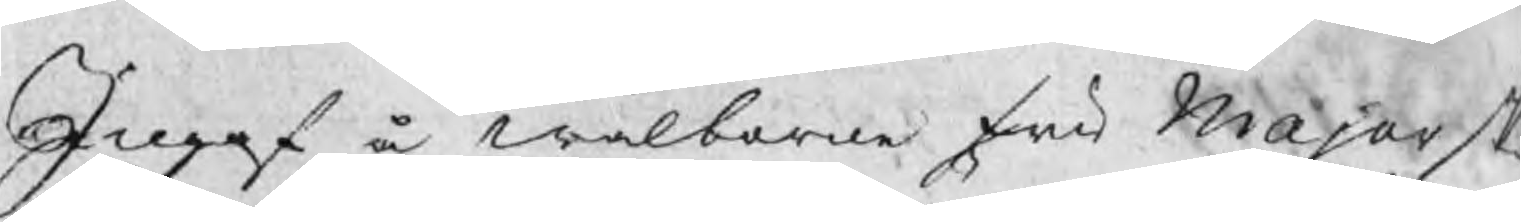Ingaf å wälborne fru Majorsk
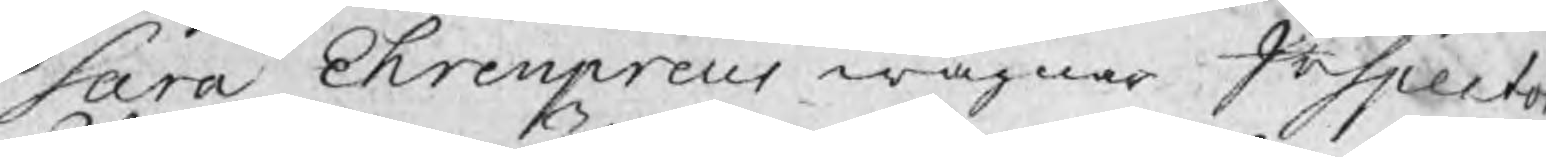Sara Ehrenpreus wägnar Inspecto
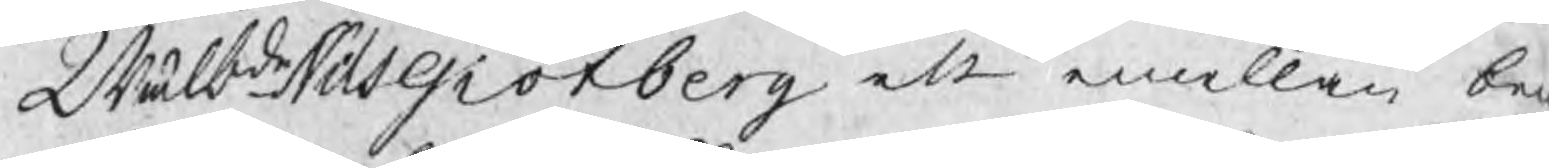Wälbde Nils Giötberg ett emellan bem
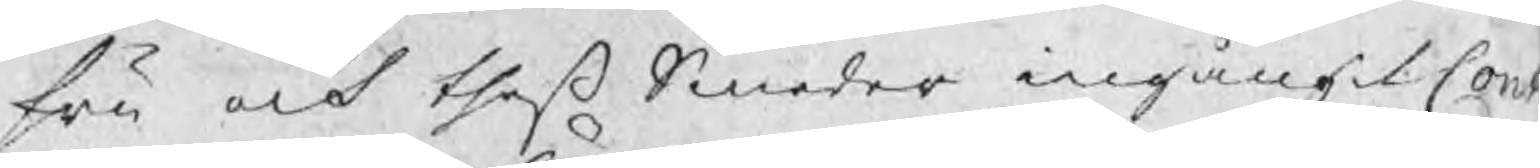fru och theß Smeder ingångit Con
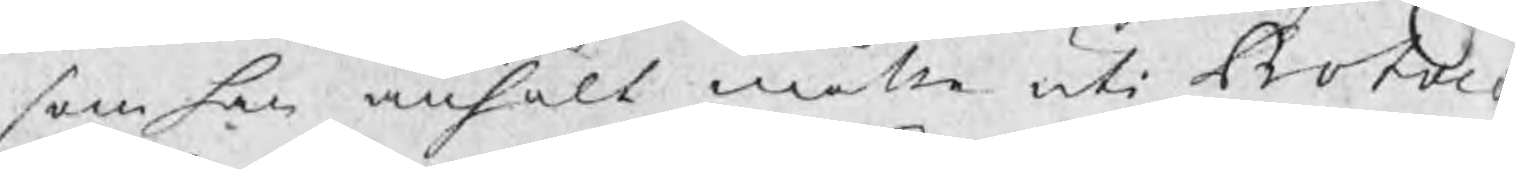som han anhöll måtte uti Protoc
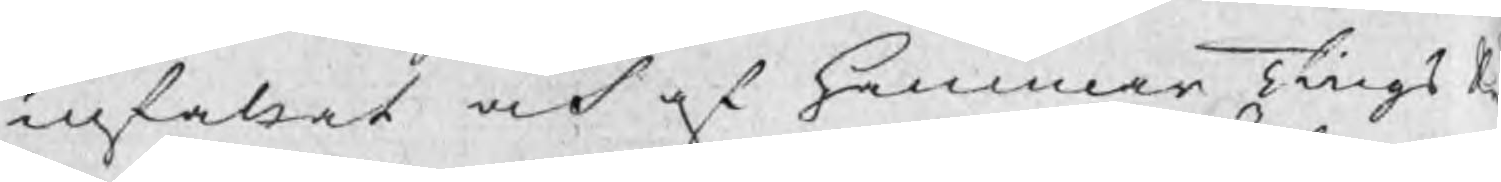infalsat och af HammarTingsR
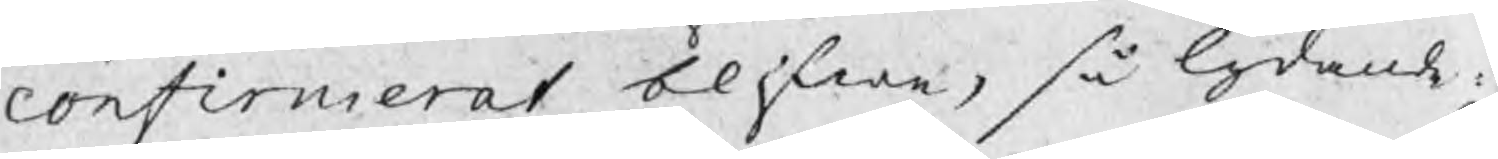confirmerat blifwa, så lydande a
